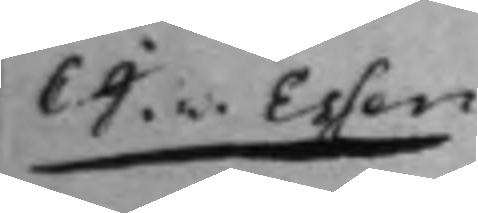C. J. v. Essen 
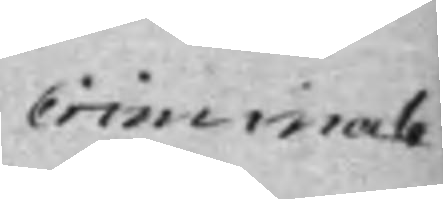Criminale 
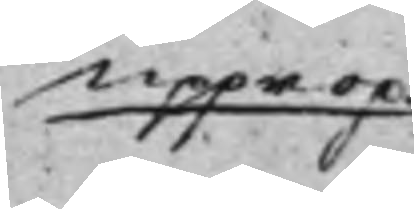Upprop.
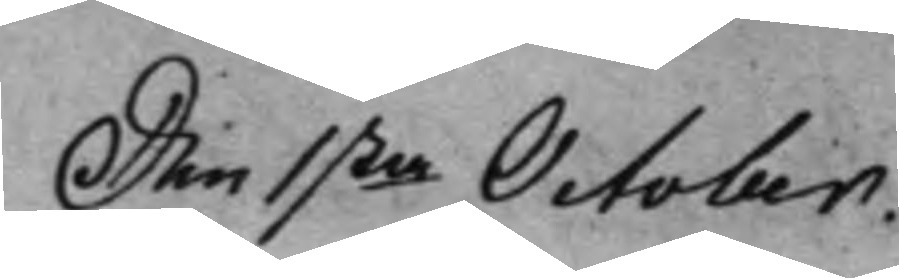Den 1sta October. 
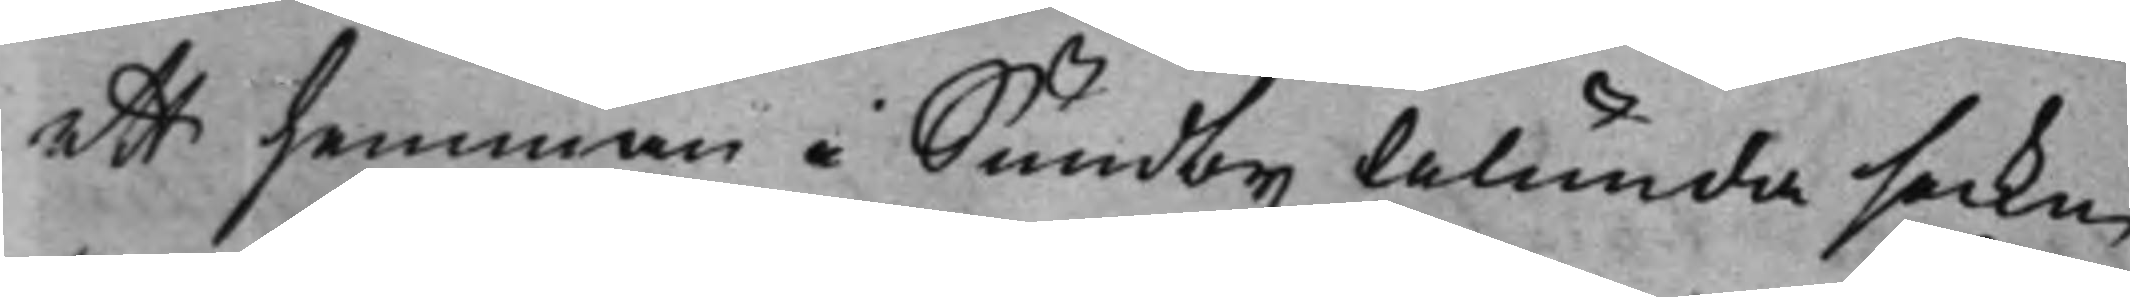ett hemman i Sundby Alunda sockn
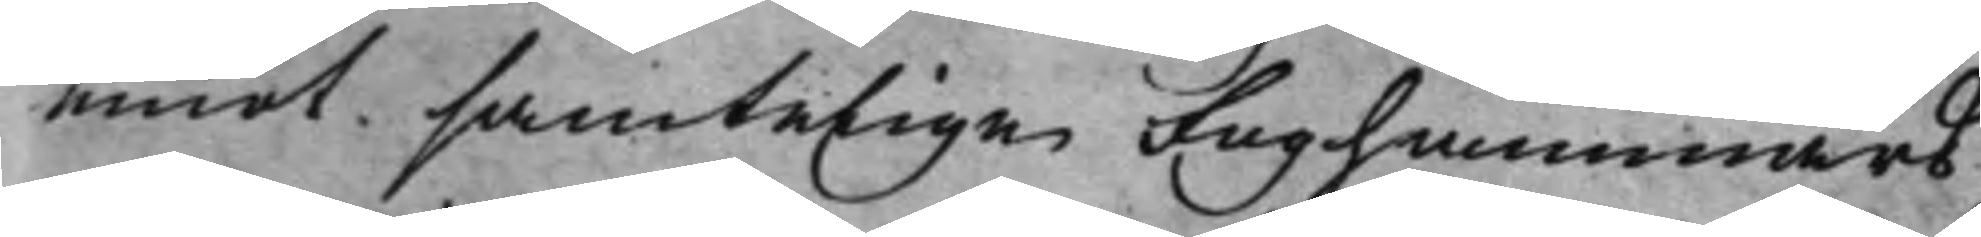emot samtelige Foghammars
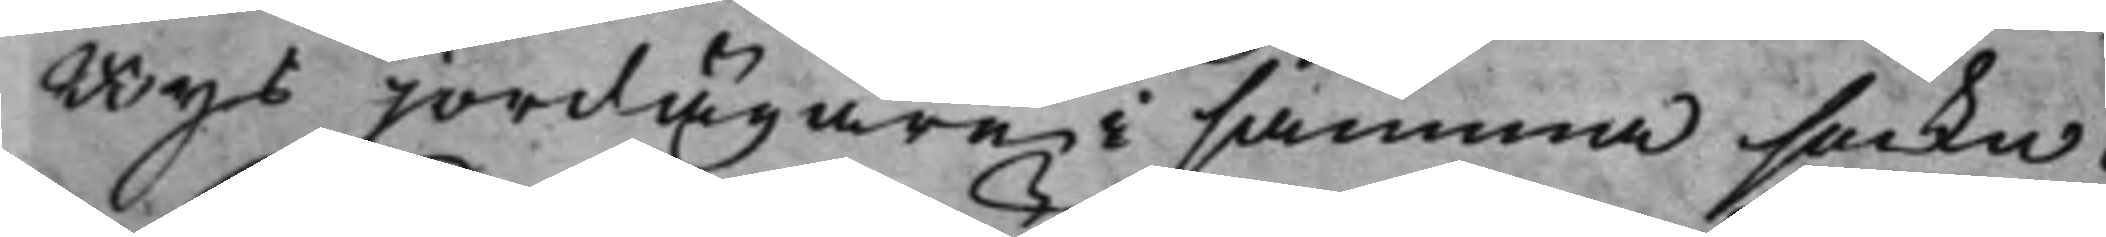Bys jordägare i samma sockn.
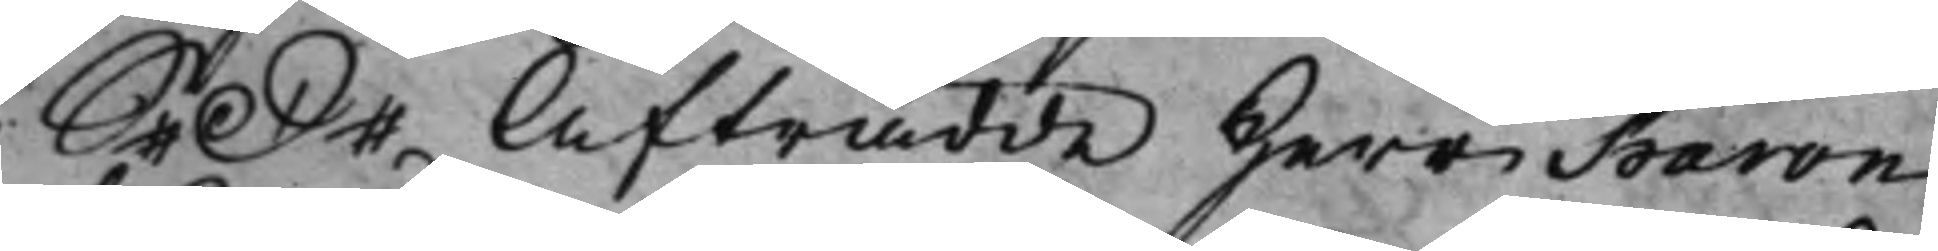S. D. Afträdde Herr Baron 
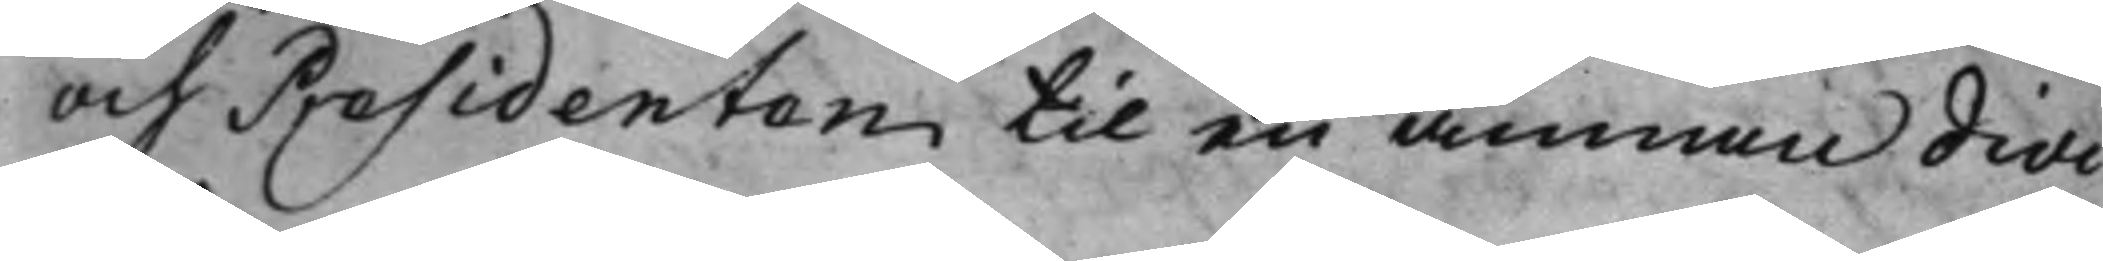och Presidenten til en annan divi¬
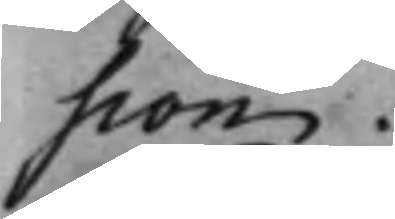sion.
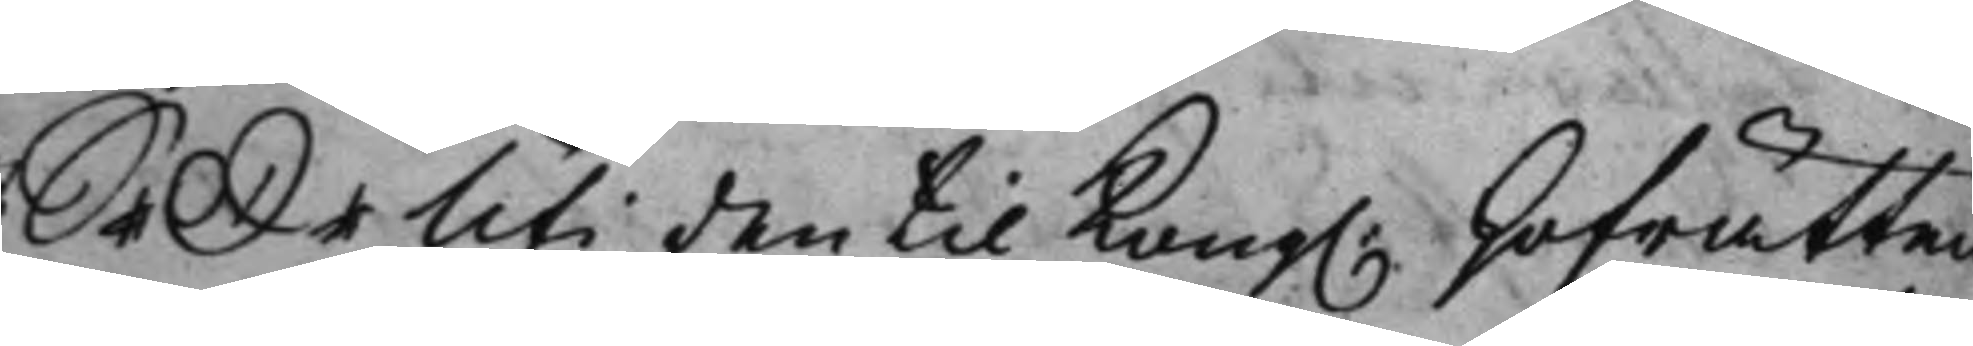S. D. Uti den til Kong. Hofrätten 
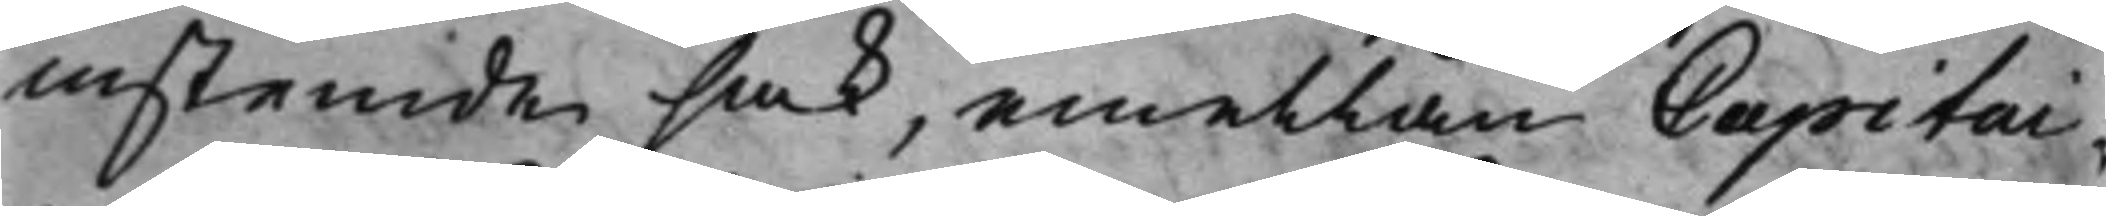instemde sak, emellan Capitai¬
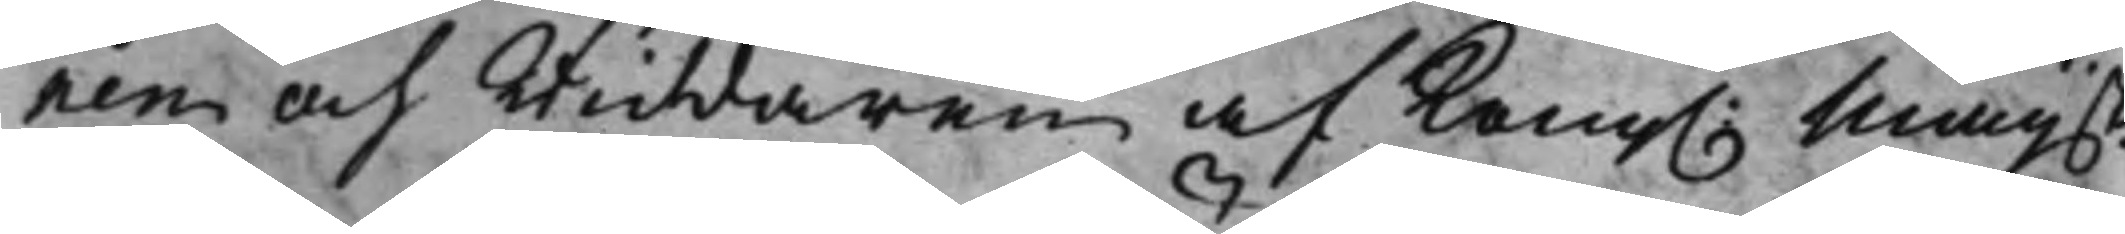nen och Riddaren af Kong. Maijsts 
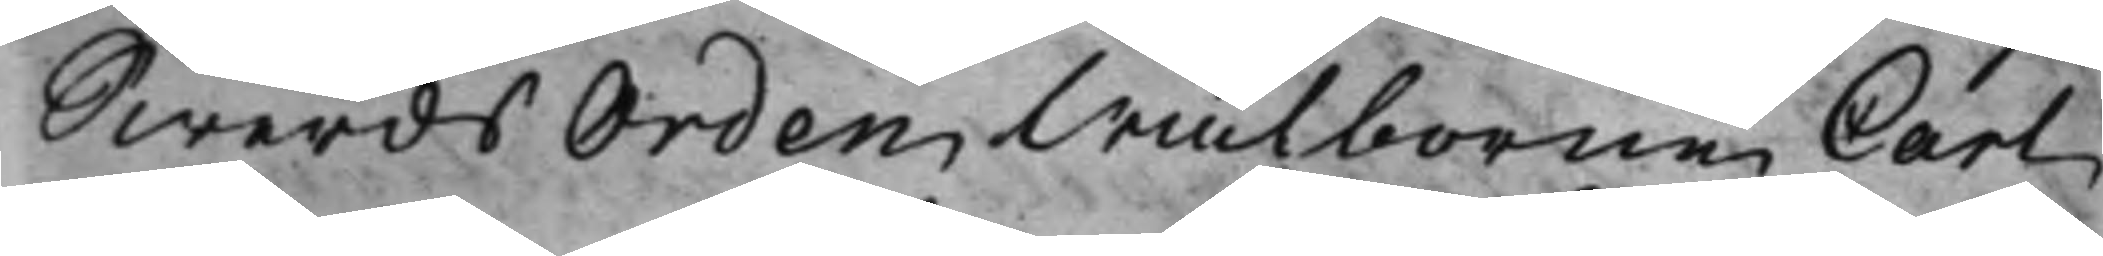Swerds Orden Wälborne Carl
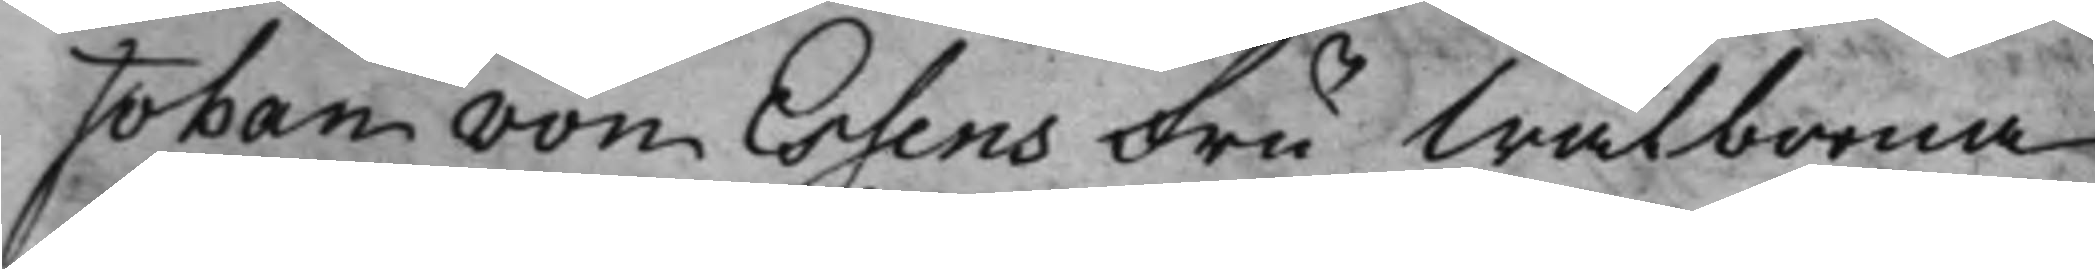Johan von Essens Fru Wälborna
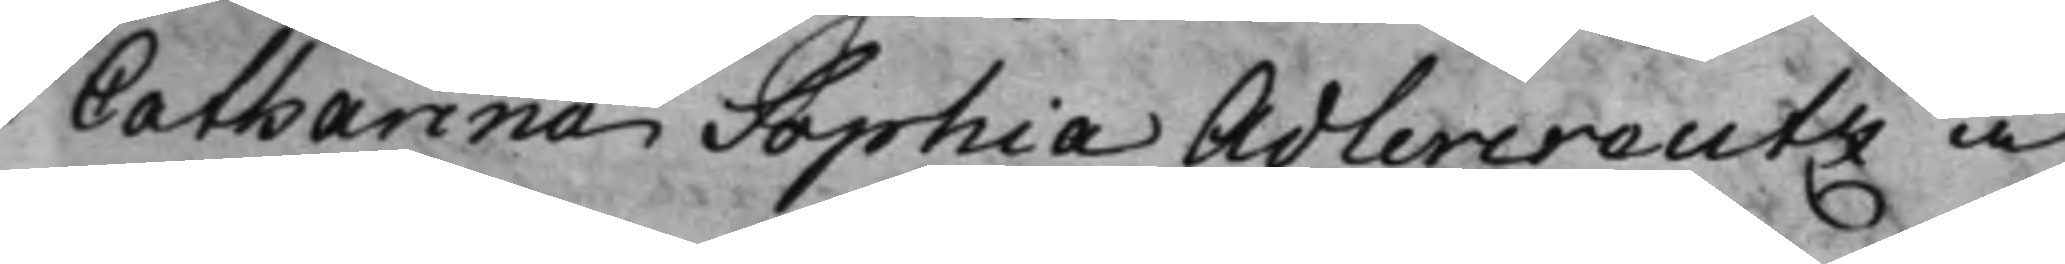Catharina Sophia Adlercreutz å
